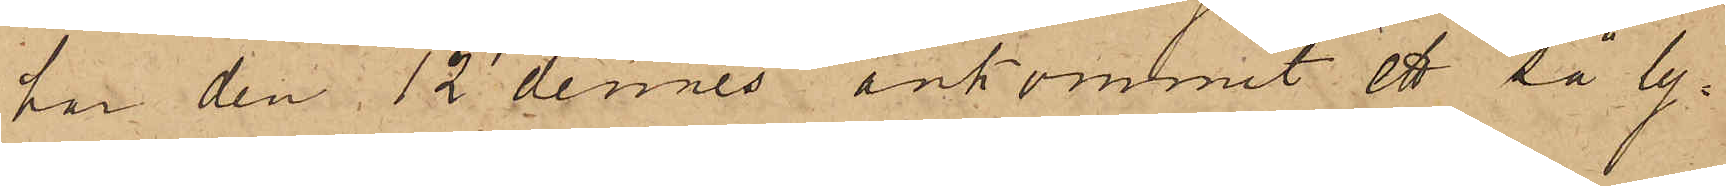har den 12 dennes ankommit ett så ly¬
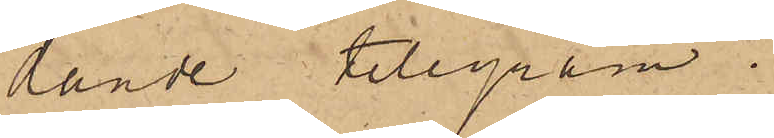lande telegram.
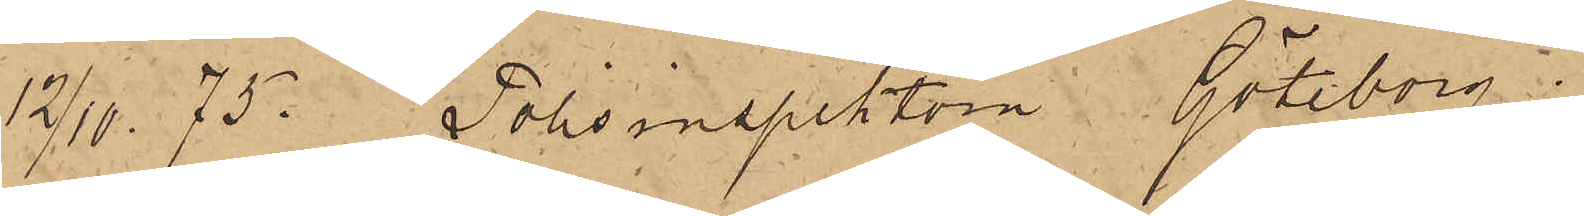12/10 75. Polisinspektorn Göteborg.
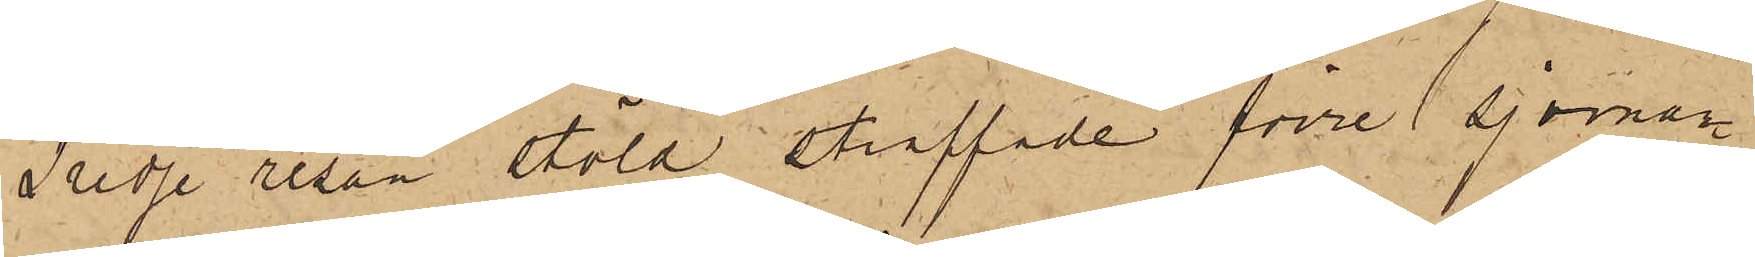Tredje resan stöld straffade förre sjöman¬
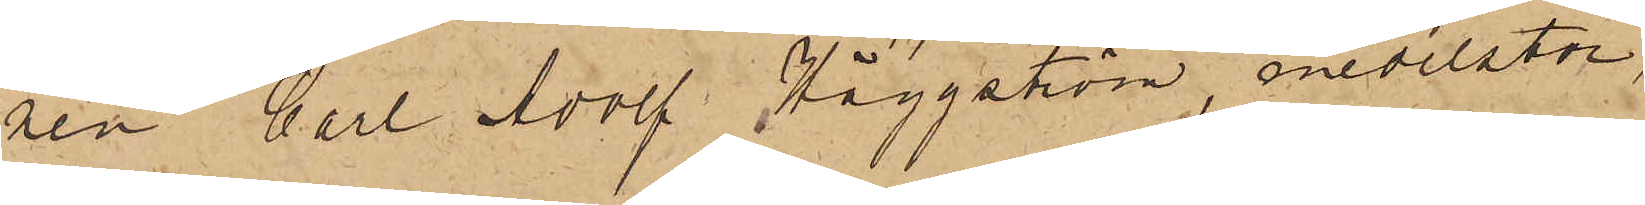nen Carl Adolf Häggström, medelstor,
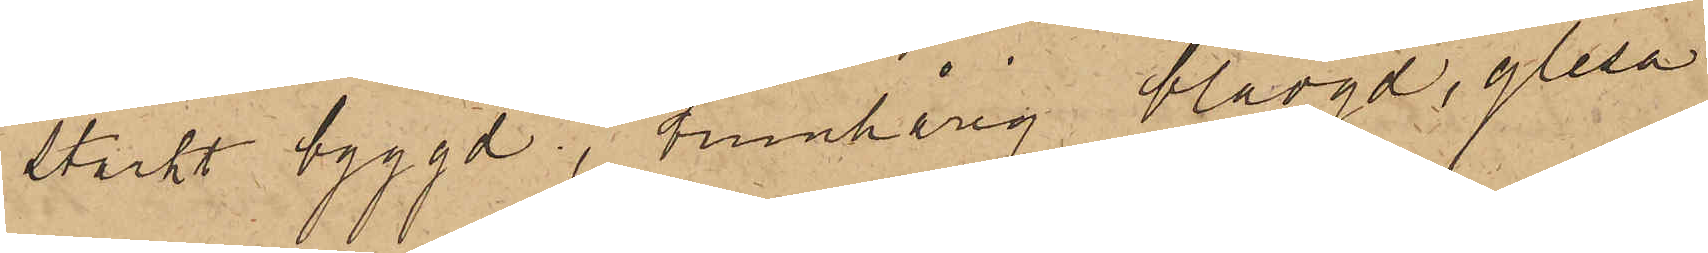starkt byggd, tunnhårig blåögd, glesa
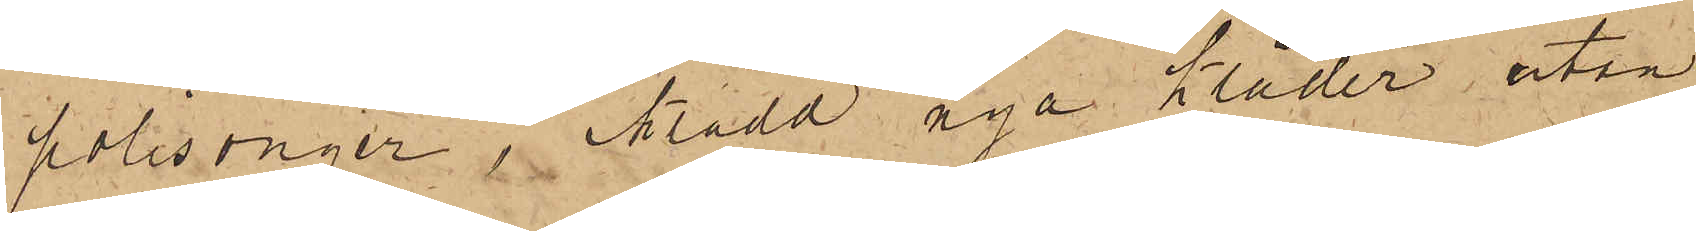polisonger,  iklädd nya kläder utan
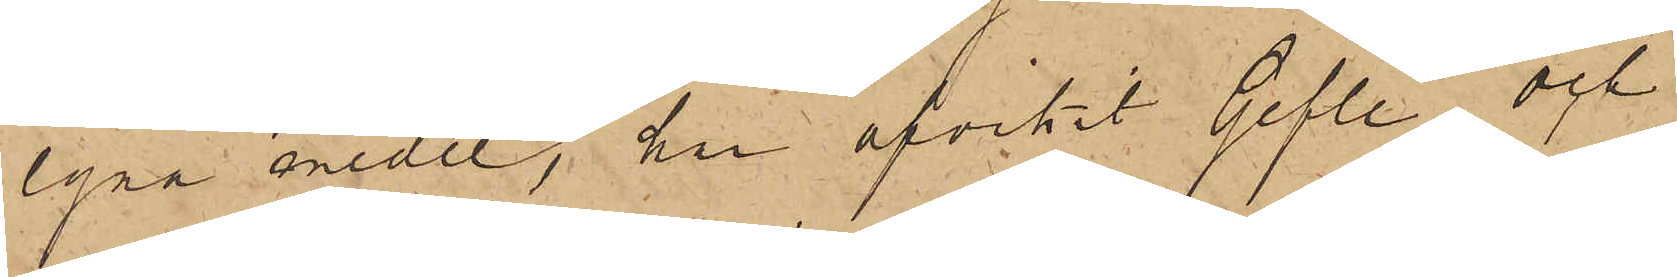egna medel, har afvikit Gefle och
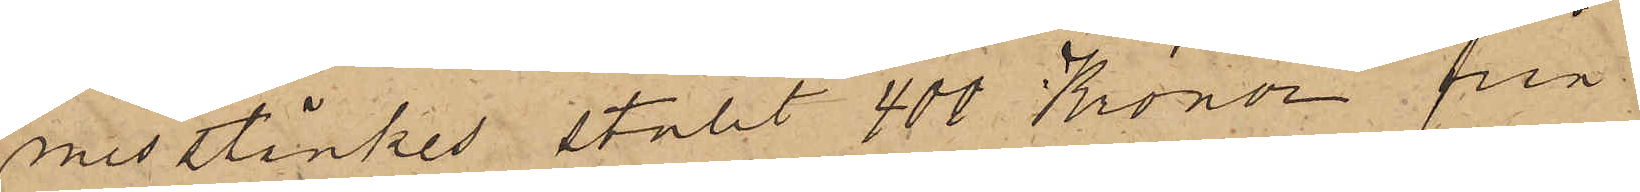misstänkes stulit 400 Kronor från
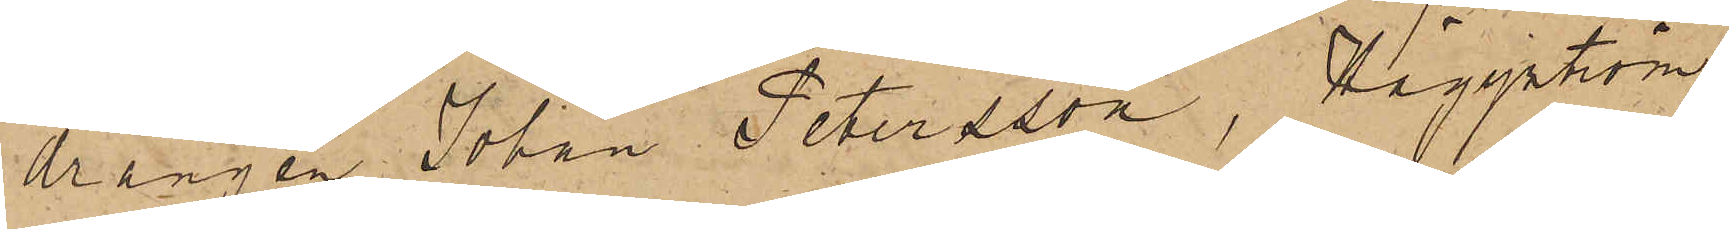drängen Johan Petersson, Häggström
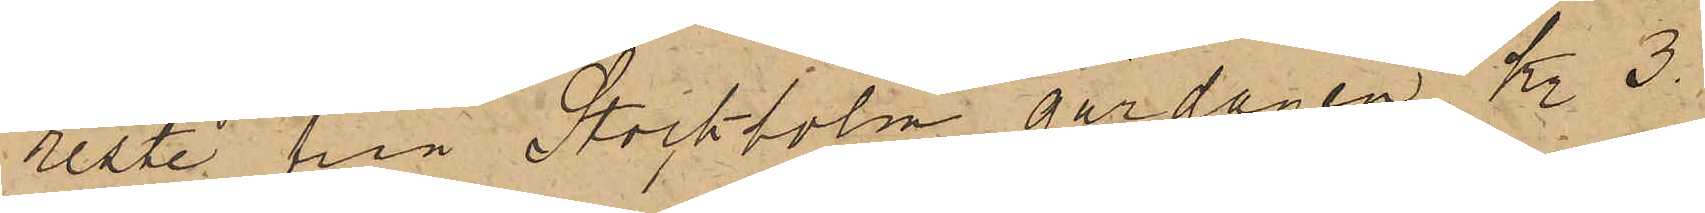reste från Stockholm Lördagen Kl. 3.
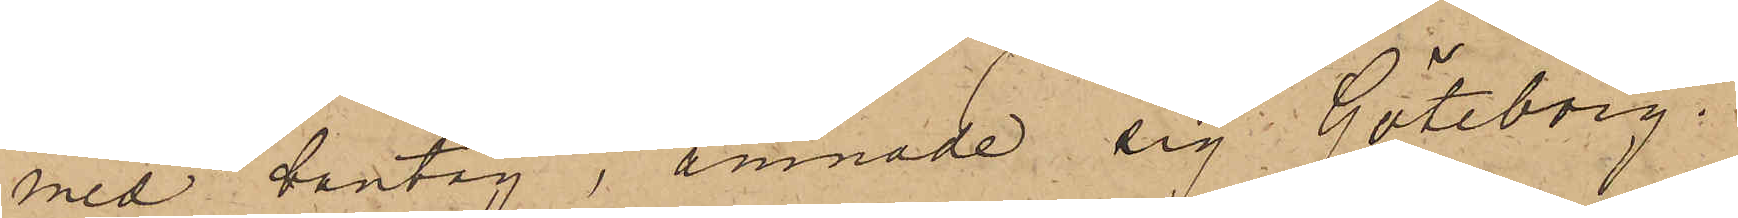med bantåg, ämnade sig Göteborg
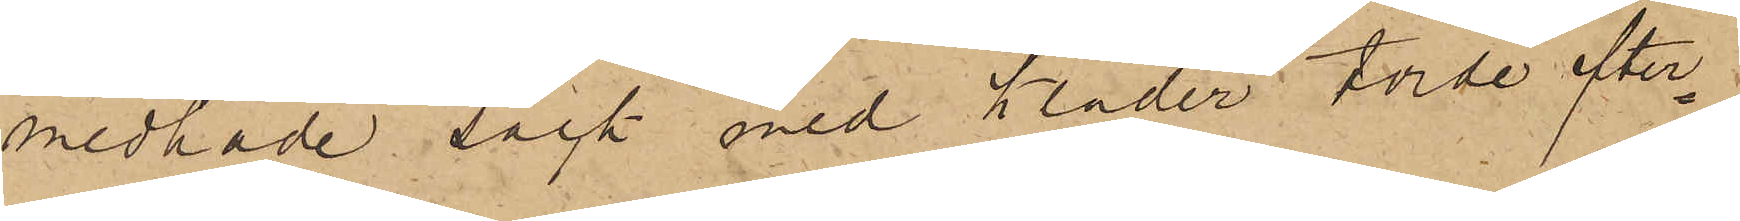medhade säck med kläder torde efter¬
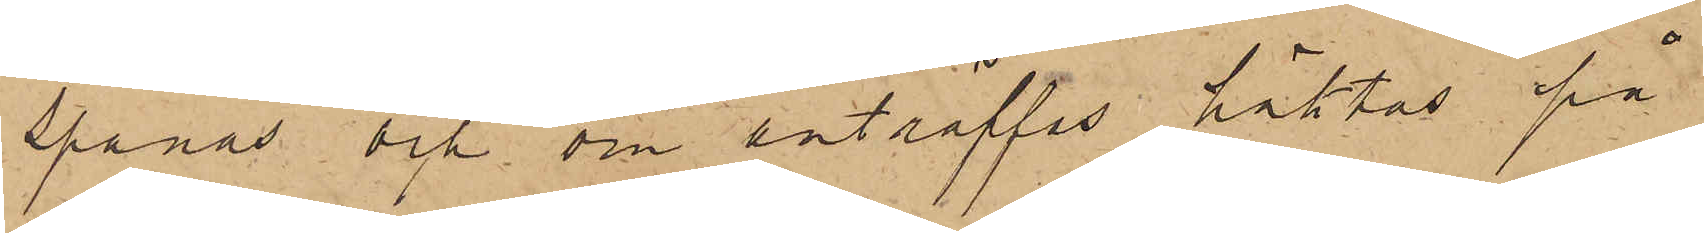spanas och om anträffas häktas på
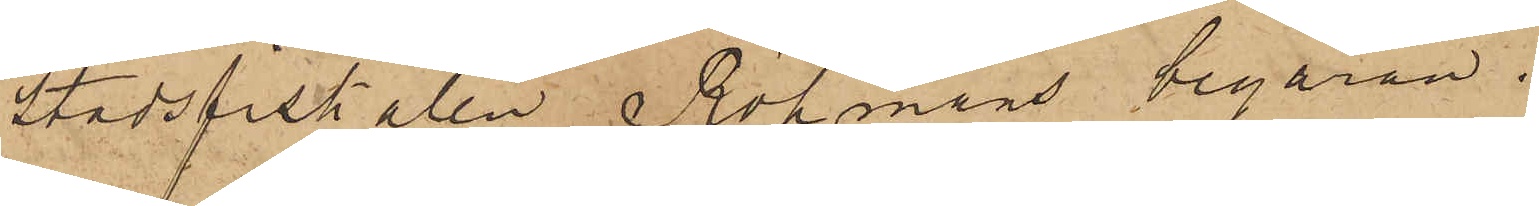Stadsfiskalen Röhmans begäran.
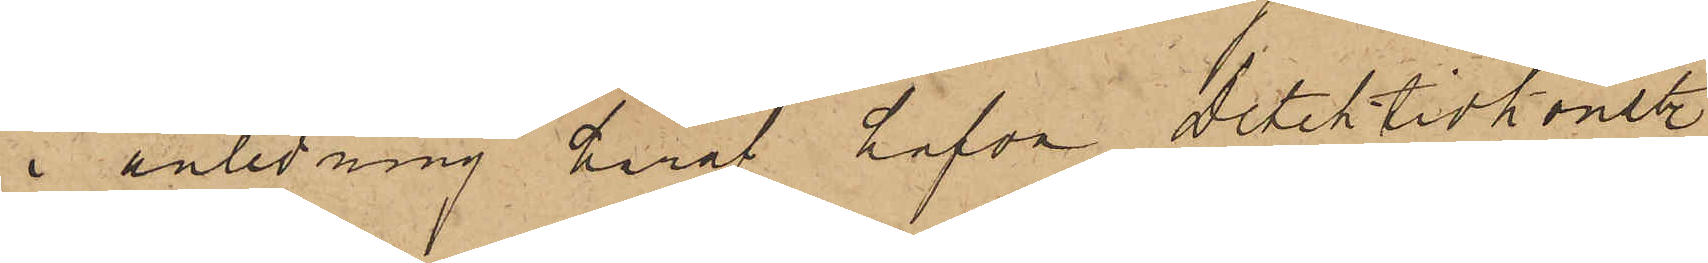I anledning häraf hafva Detektivkonst.
